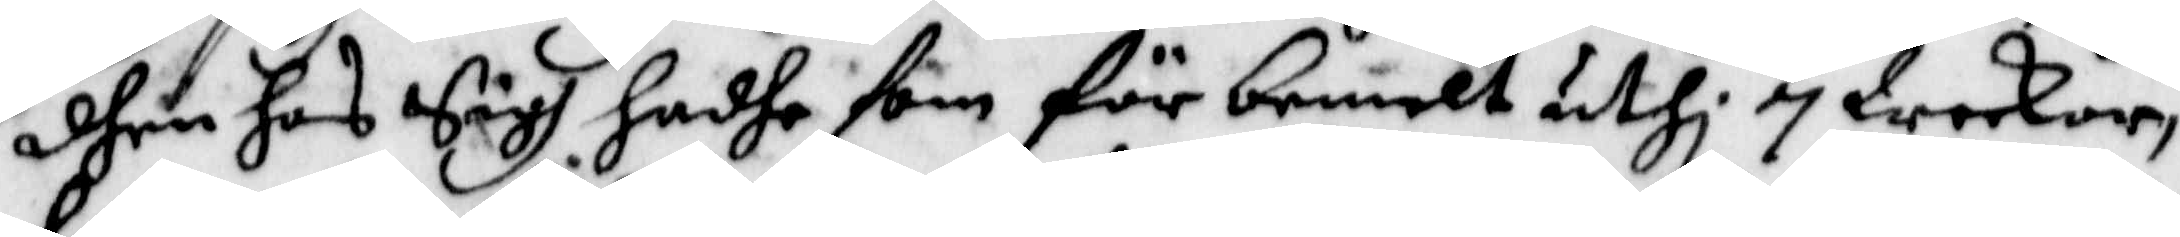dhen hos Sigh hadhe som örbemelt uthi 7 Weckor,
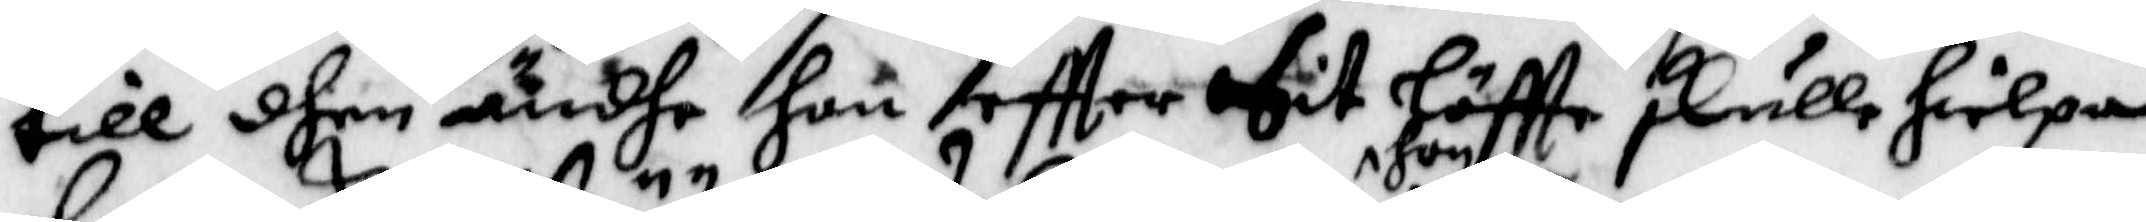till dhen ändha hon eftter Sit löftte skulle huelpa
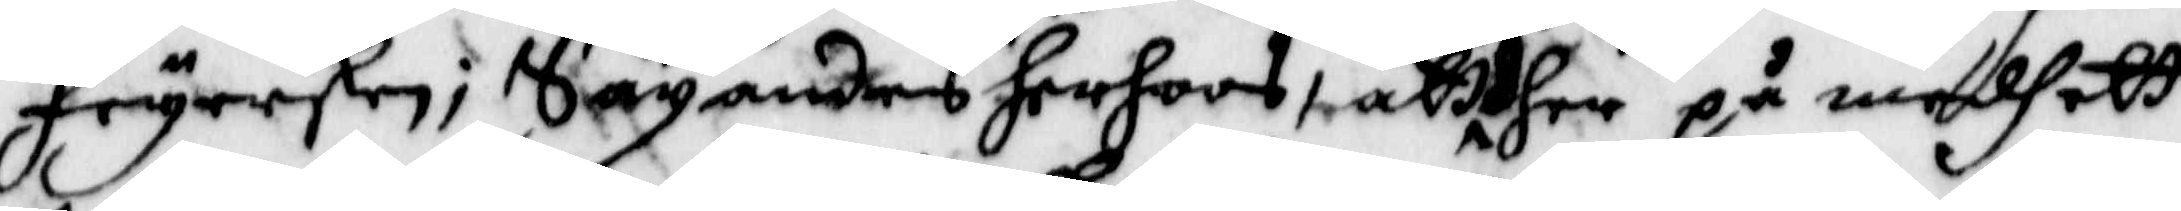Feyersken; Sägandes herhoos, att hon her på medh ett
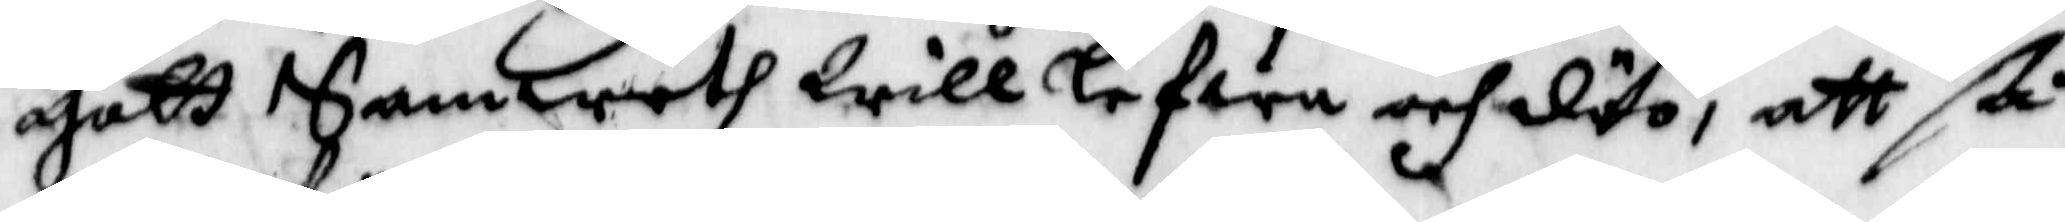gott Samweth Will lefwa och döö, att ßå
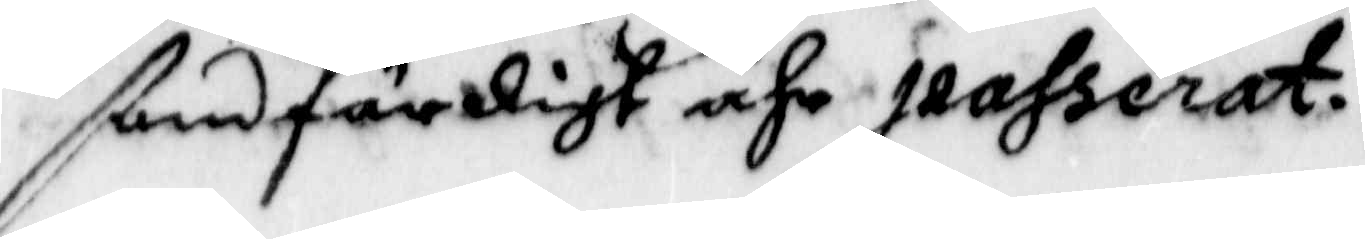ßanfärdigt ähr passerat.
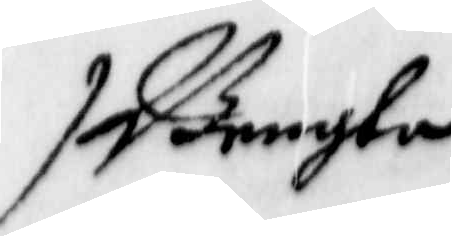Bengta
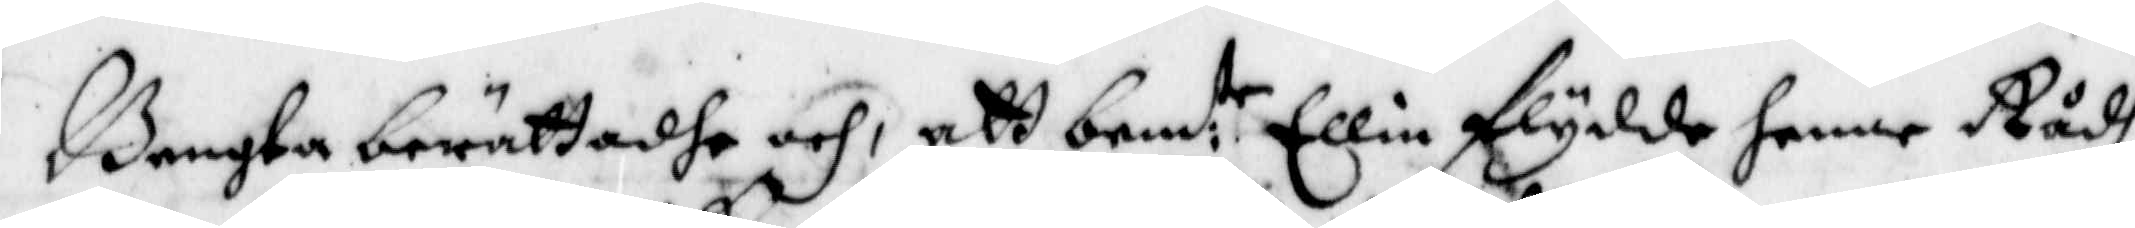Bengta berättadhe och, att bem:te Ellin flydde henne Rådh
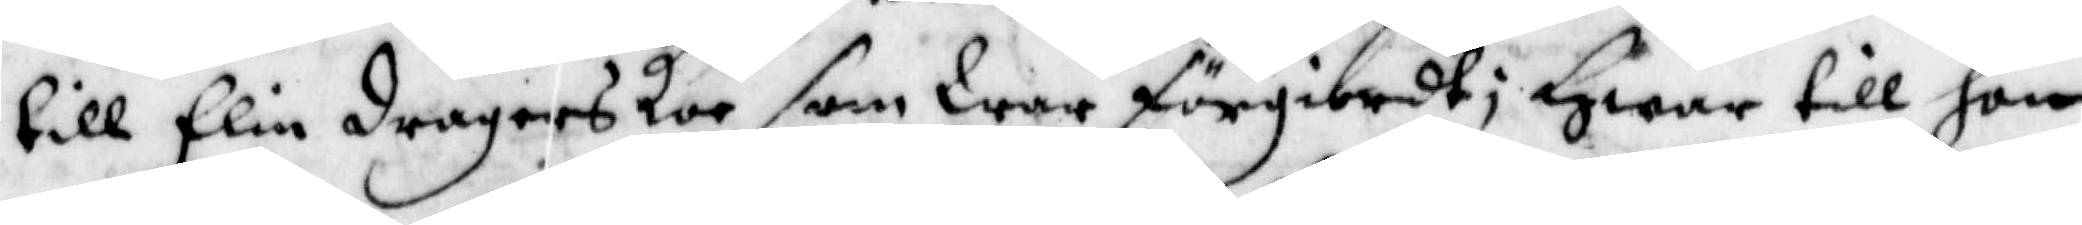till Elin dragerskor som war förgiordt; Hwar till hon
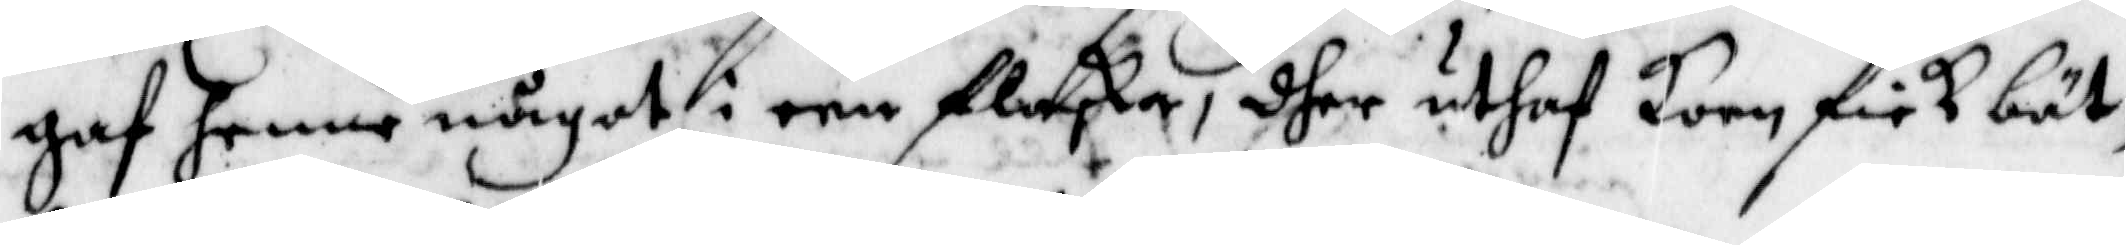gaf henne något i een flaska, dher uthaf korn fick bät¬
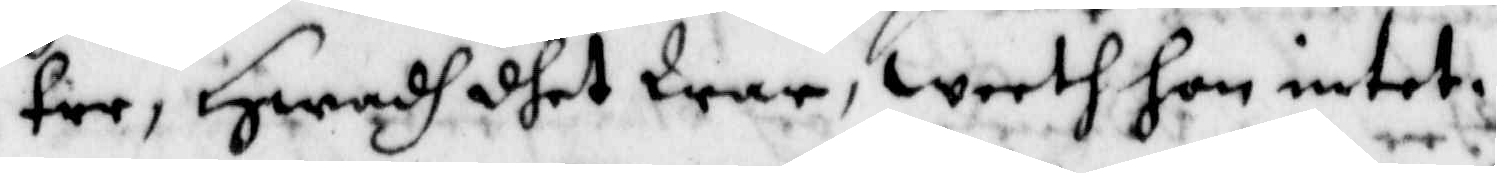tre, Hwadh dhet war, weeth hon intet.
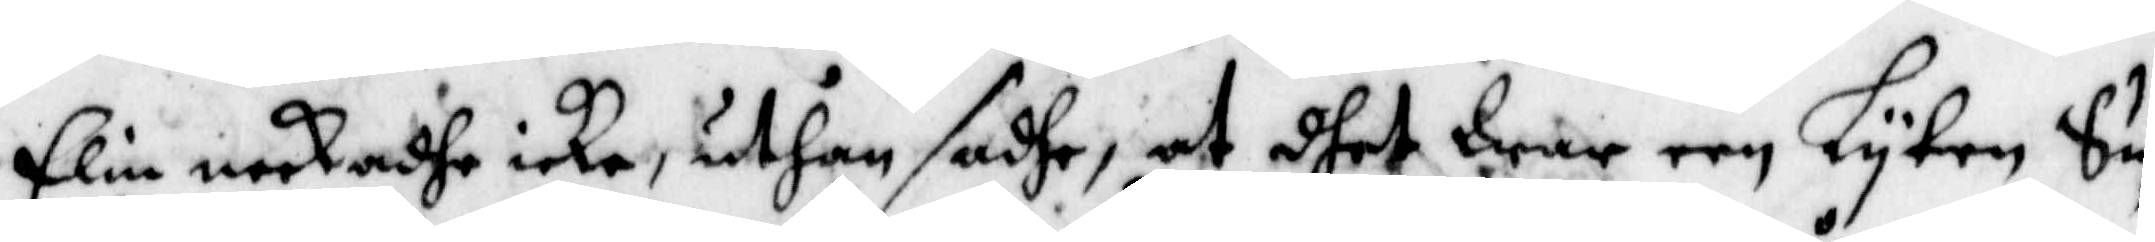Elin neekadhe icke, uthan sadhe, at dhet war een Lyten Su¬
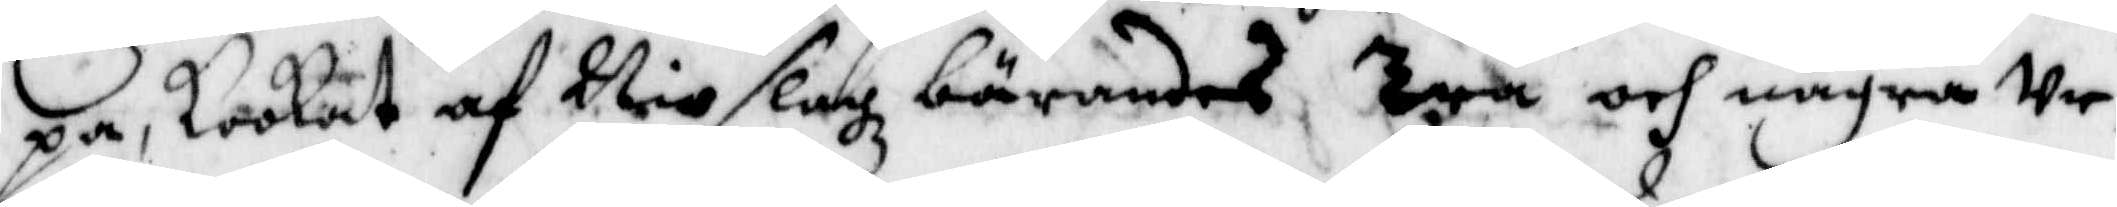pa, kokat af Nio slagz bärandes Tyä och några Ur¬
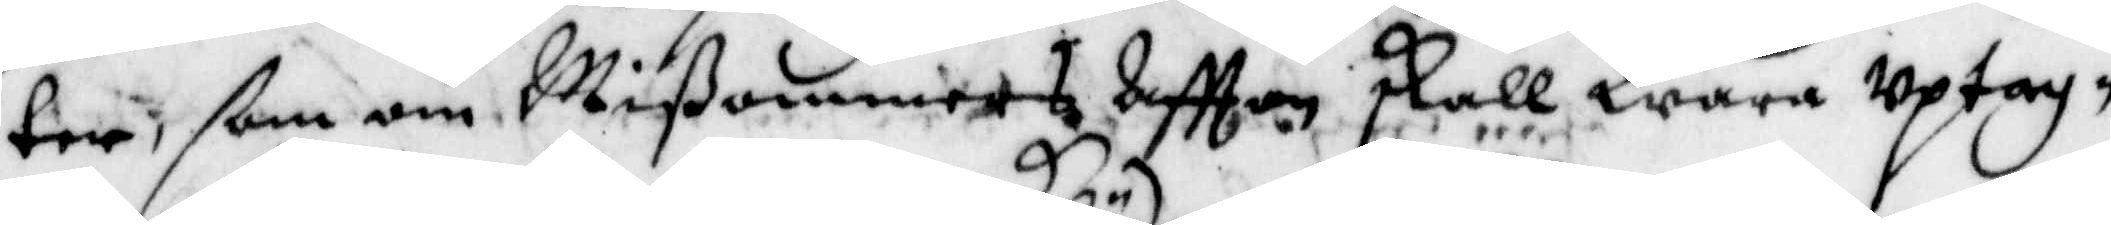ter, ßom om Mißommers Aftton skall Wara uptag¬
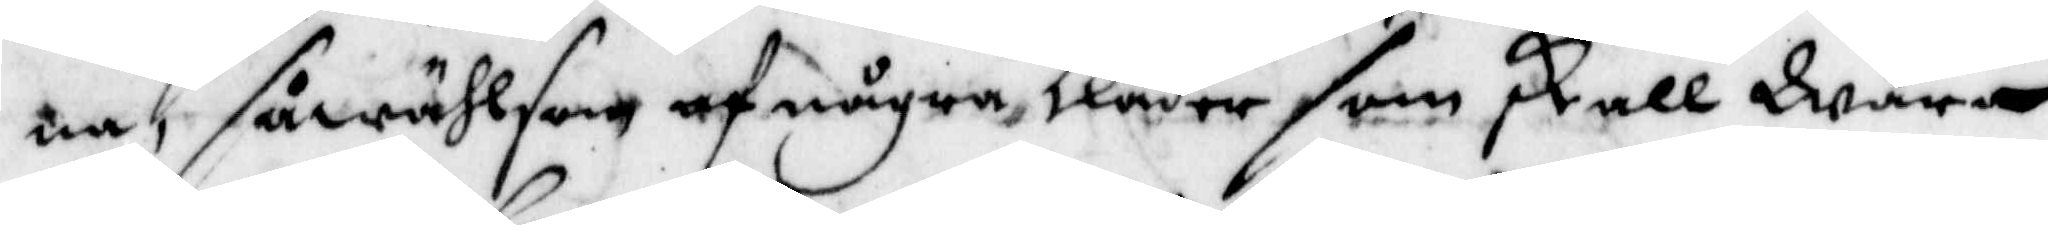na, såwähl som af några kläder som skall Wara
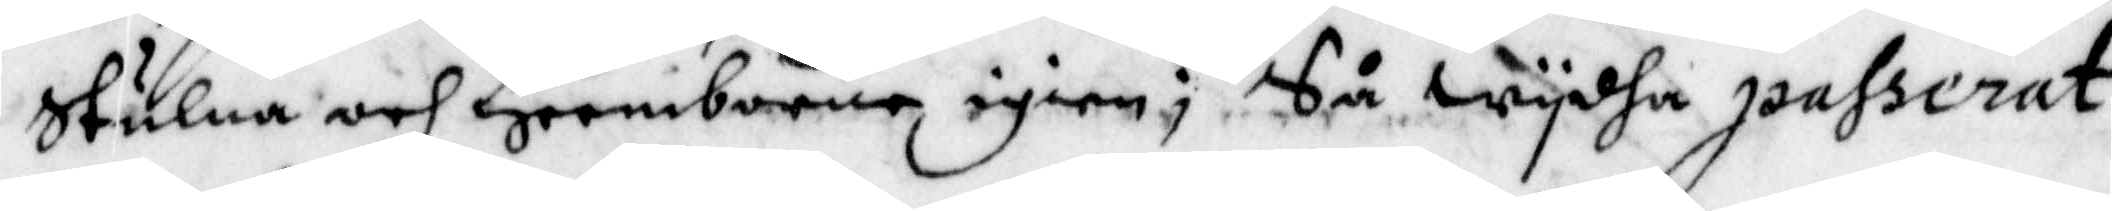Stulna och Heemborna igien; Så Wydha passerat
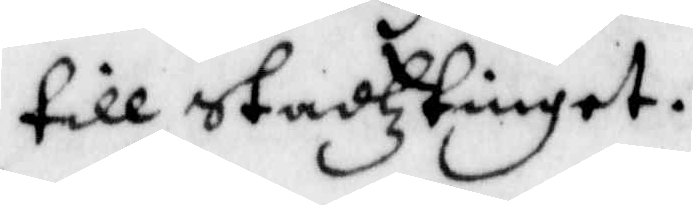till Stasztinget.
